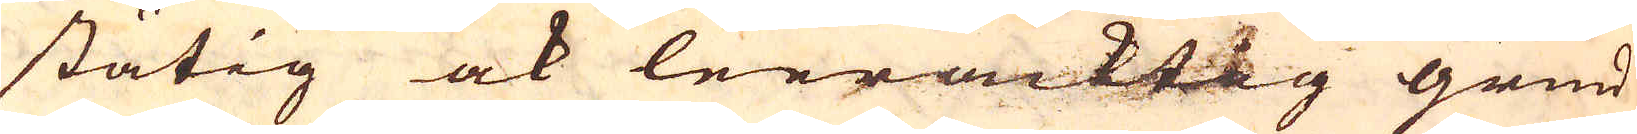ståtig ock leerackttg grund
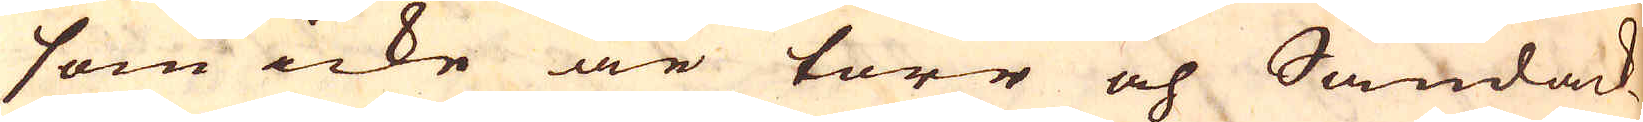som icke är torr och Sandack-
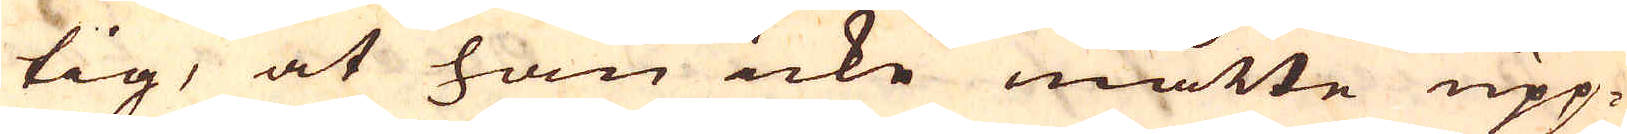tig, at han icke måtte upp-
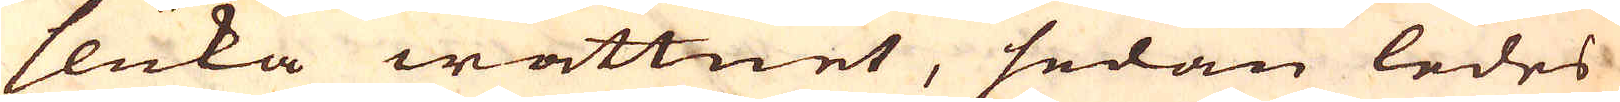sluka wattnet, sedan ledes
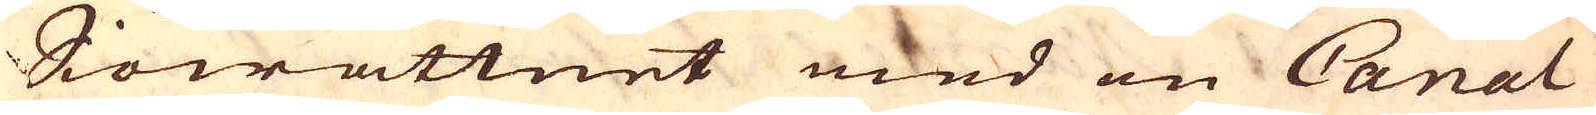Siöwattnet med en Canal
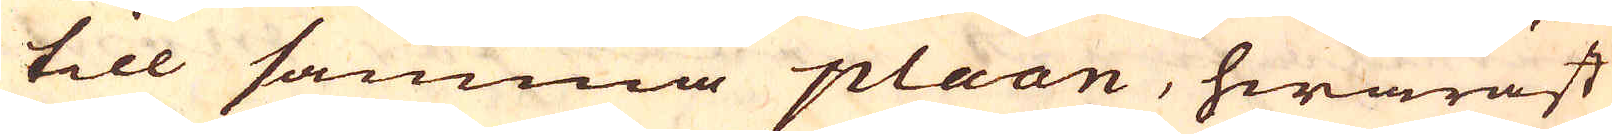till samma plaan, hwaräst
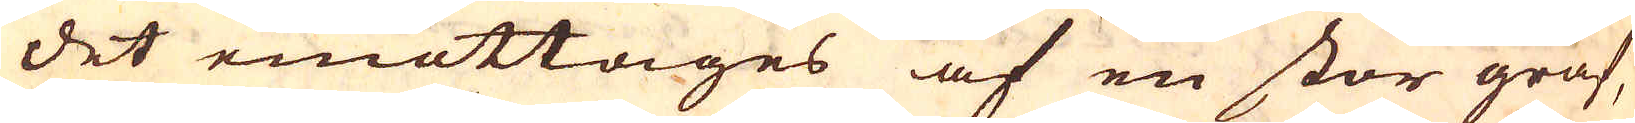det emottages af en stor graf,
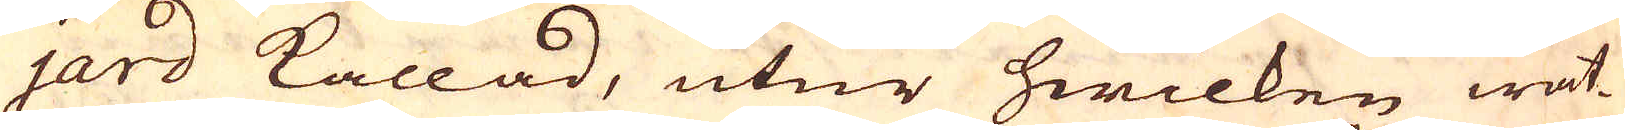jard kallad, utur hwilken wat-
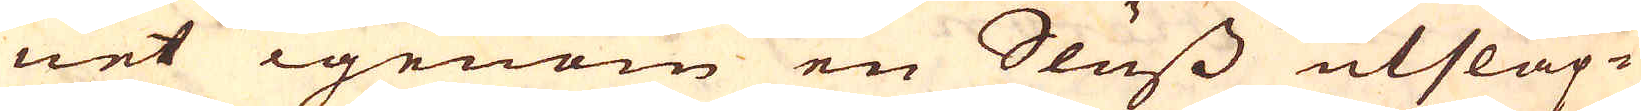net igenom en Sluss utsläp-
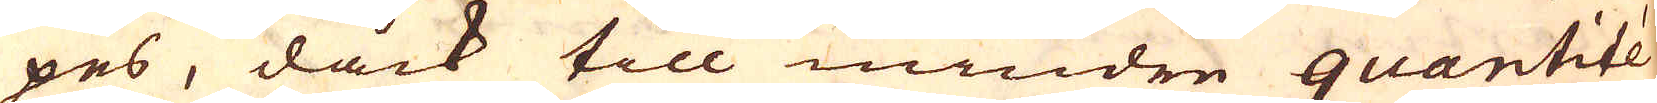pes, dåck till mindre quantitée
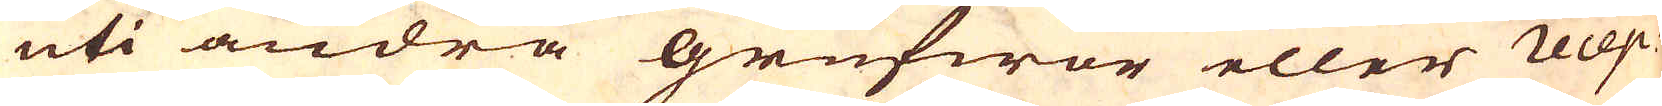uti andra grufwor eller recep-
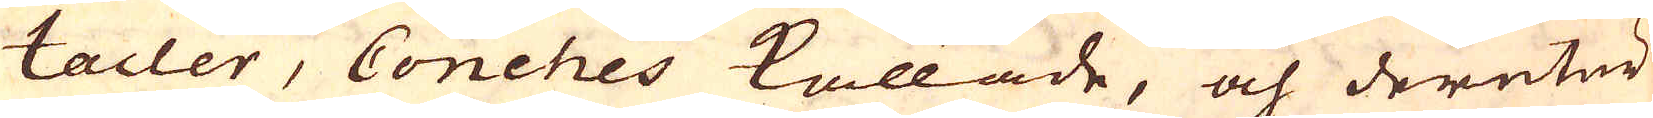tacler, Conches kallade, och deretur
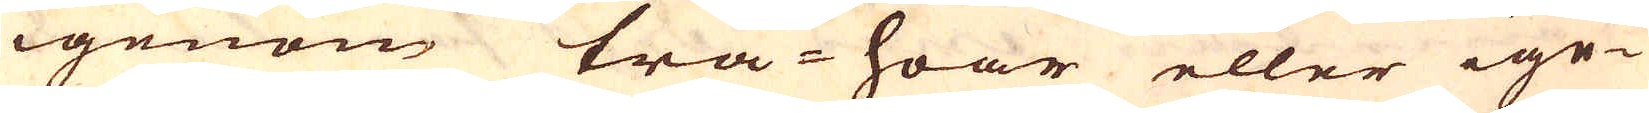igenom trä-hoar eller ige-
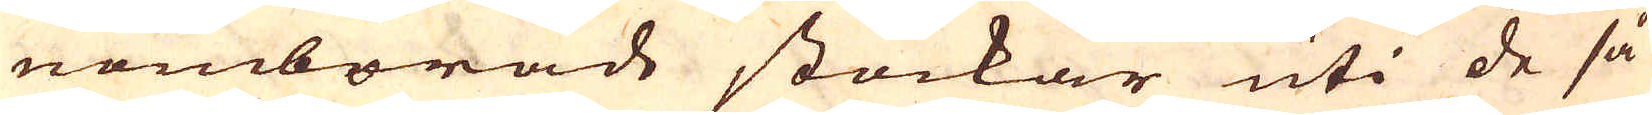nomborade stockar uti de så
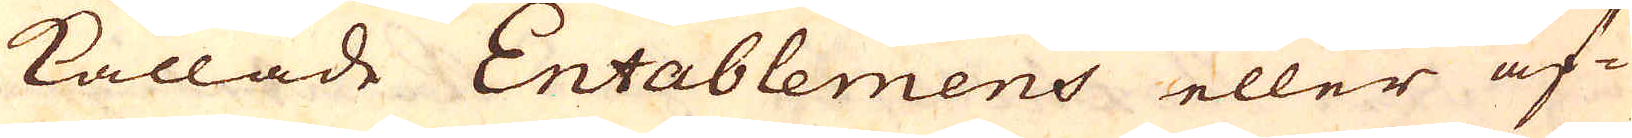kallade Entablemens eller af-
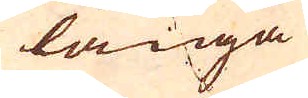långa
